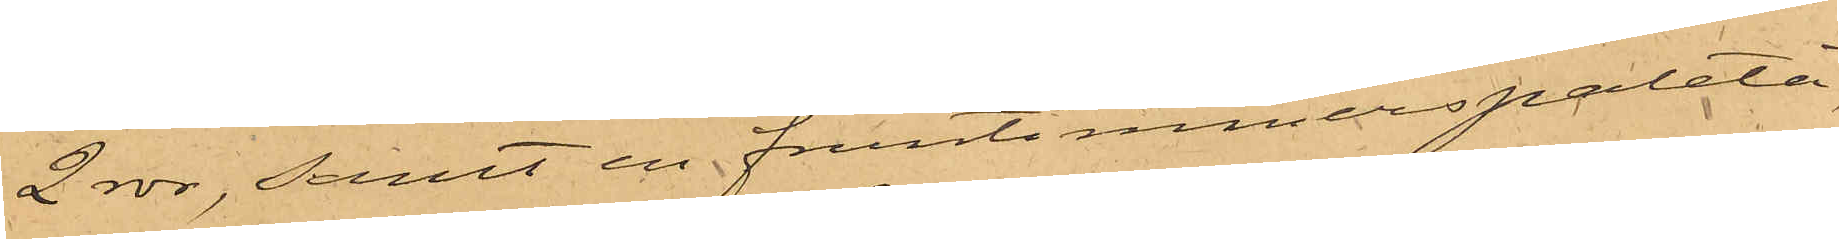2 rdr, samt en fruntimmerspaletå,
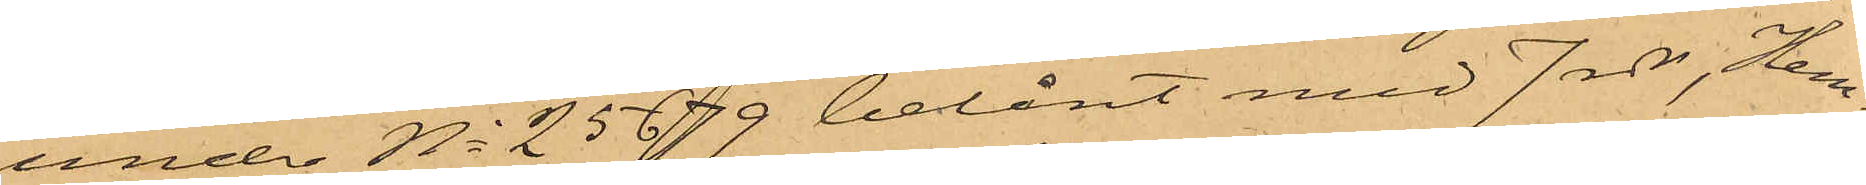under No 25679 belånt med 7 rdr, Hem¬
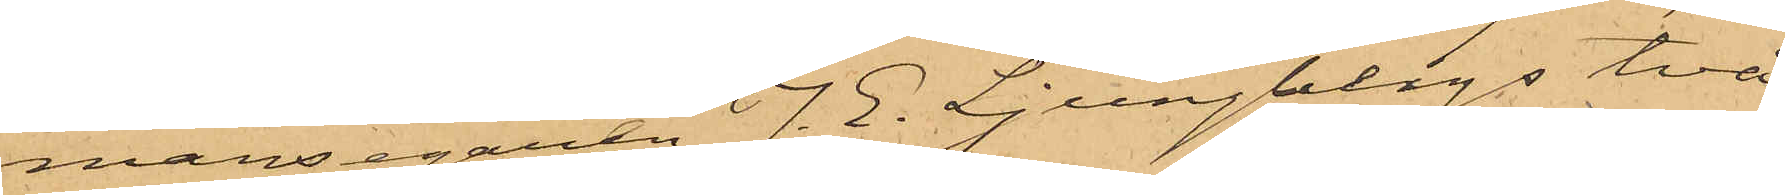mansegaren J. E. Ljungbergs två
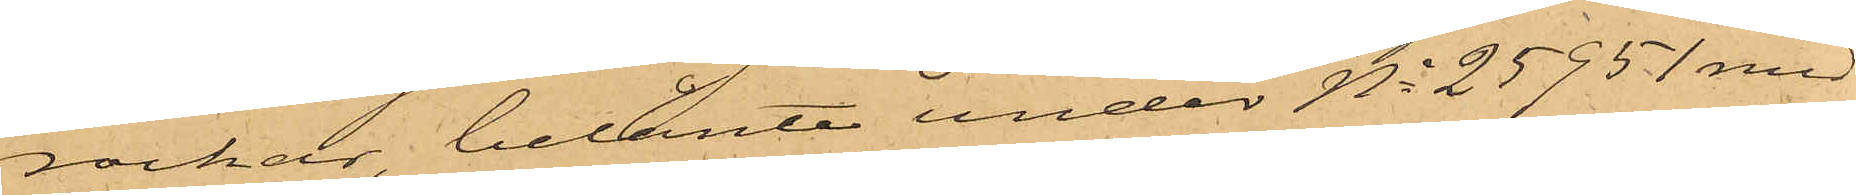rockar, belånte under No 25951 med
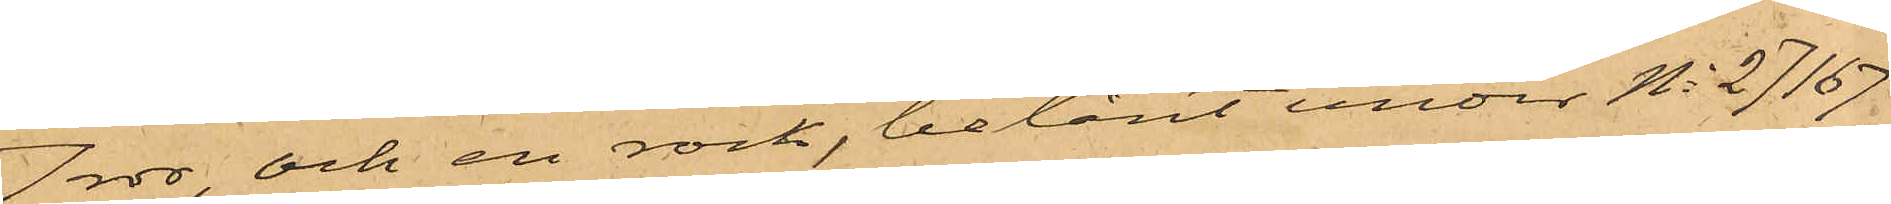7 rdr, och en rock, belånt under No 27167
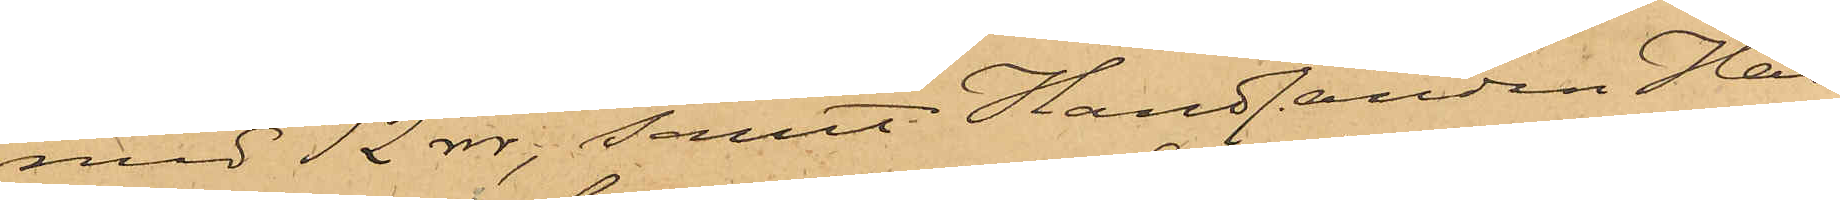med 12 rdr; samt Handlanden Has¬
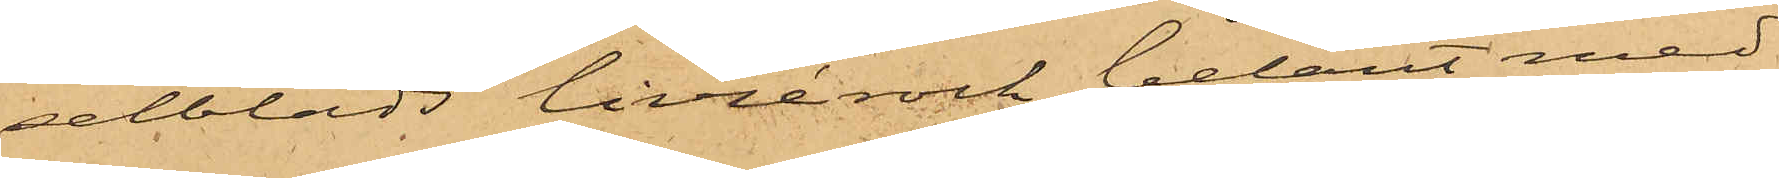selblads livrérock, belånt med
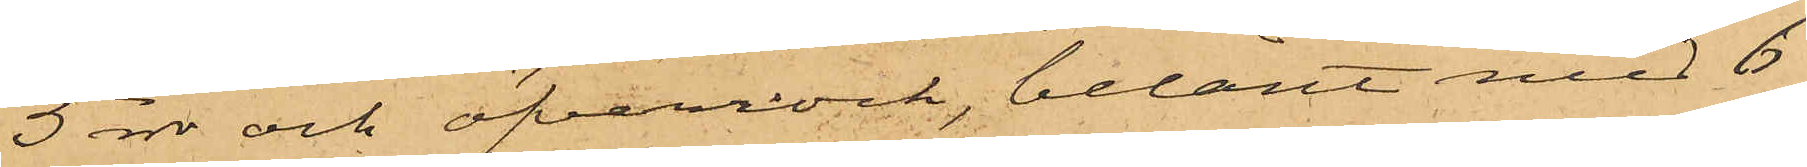5 rdr och öfverrock, belånt med 6
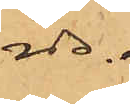rdr.
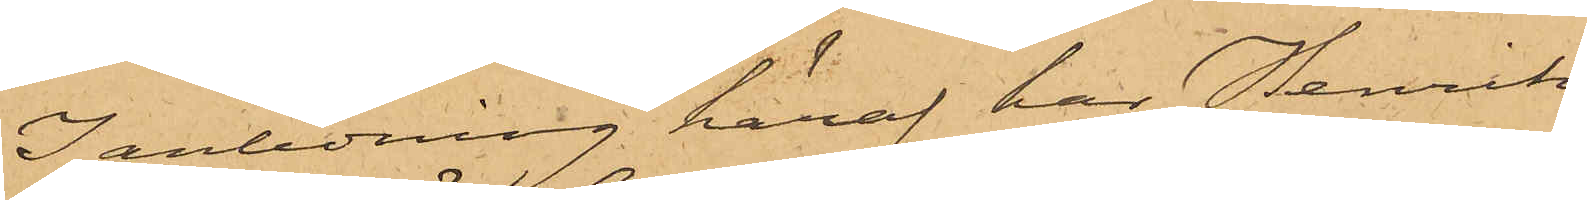I anledning häraf har Henrik
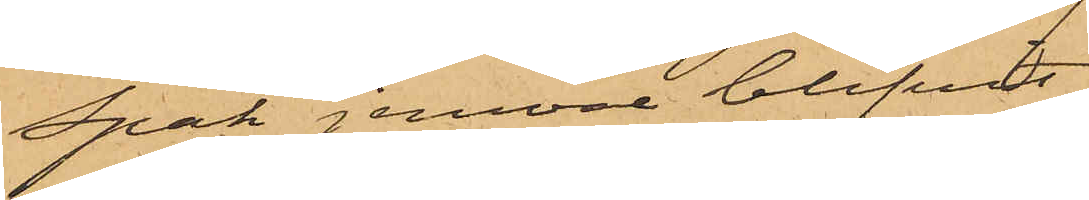Spak jemväl blifvit
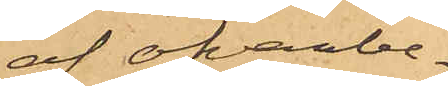af ofvanbe¬
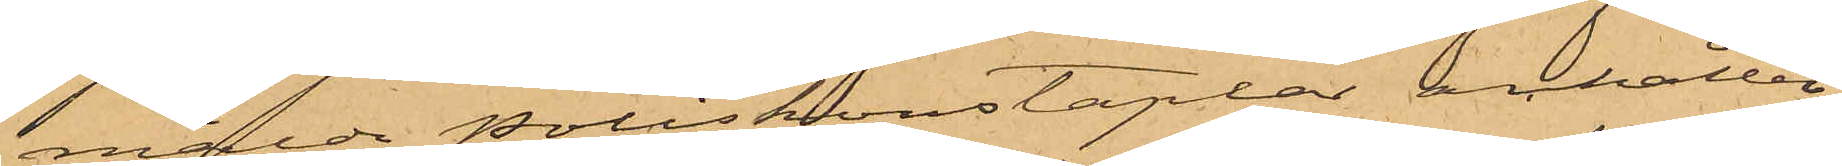mälde Poliskonstaplar anhållen,
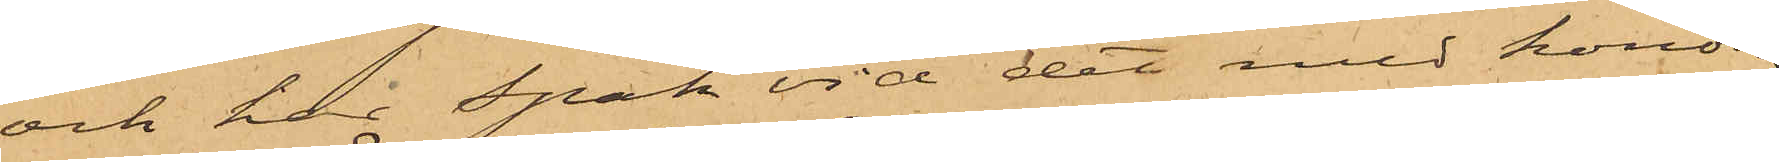och har Spak vid det med honom
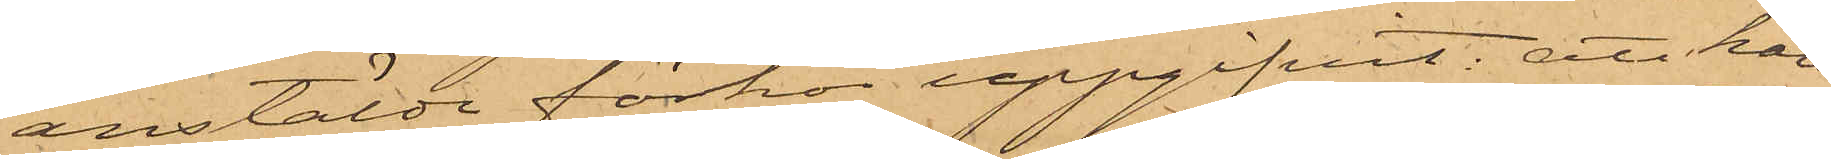anstälde förhör uppgifvit: att han
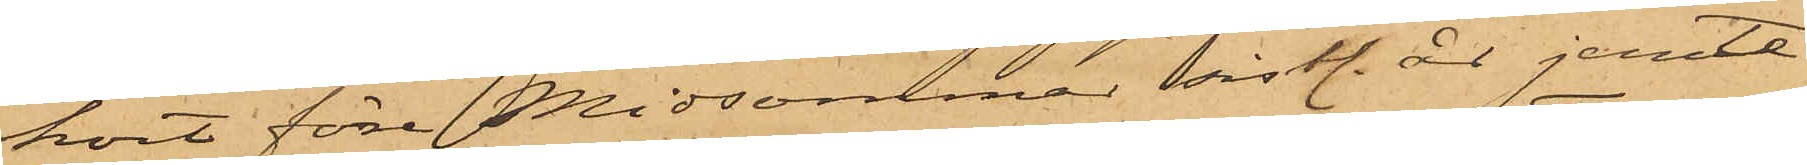kort före Midsommar sistl. år jemte
